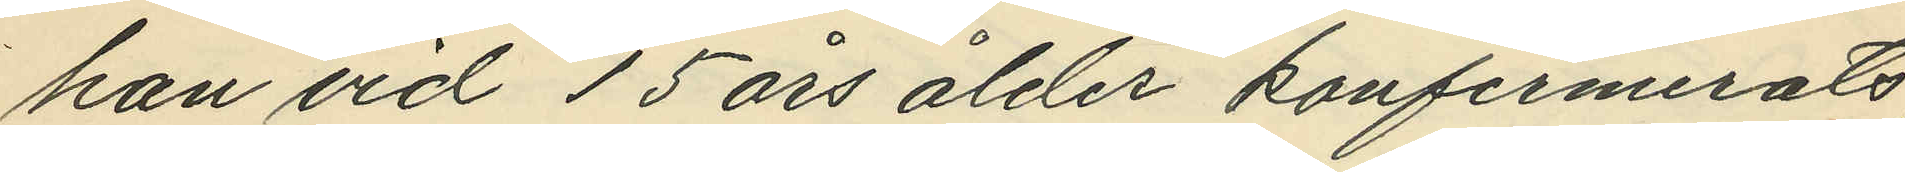han vid 15 års ålder konfirmerats,
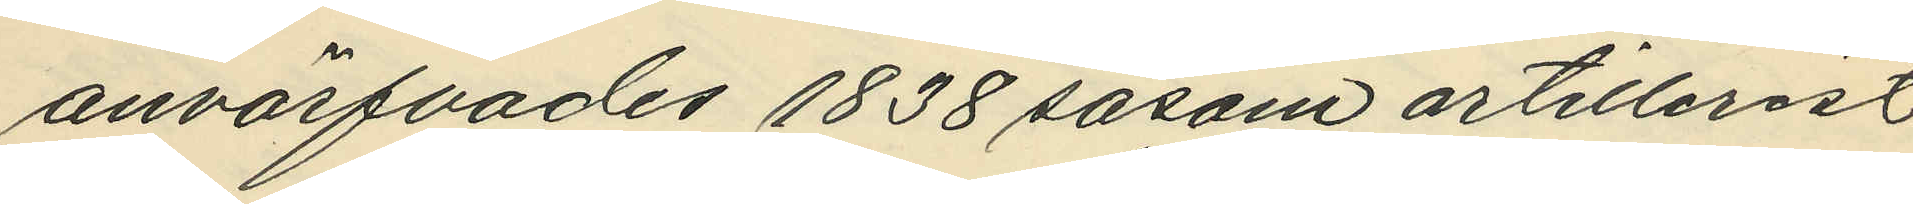anvärfvades 1838 såsom artillerist
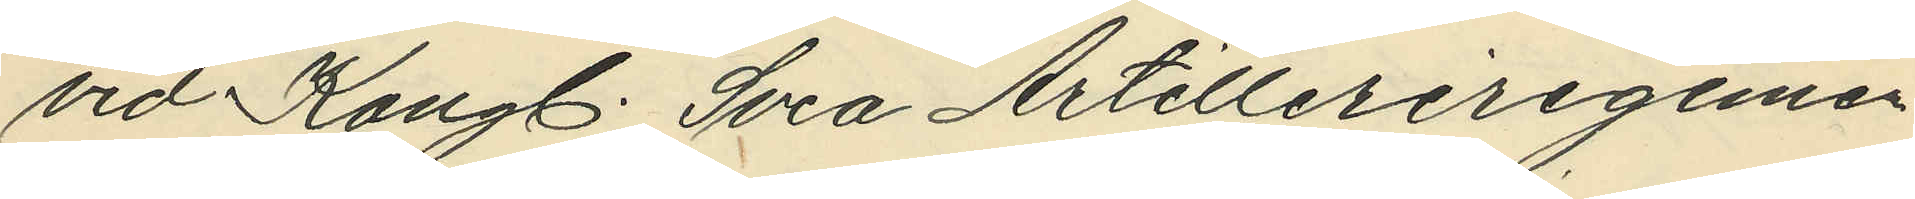vid Kongl. Svea Artilleriregemen¬
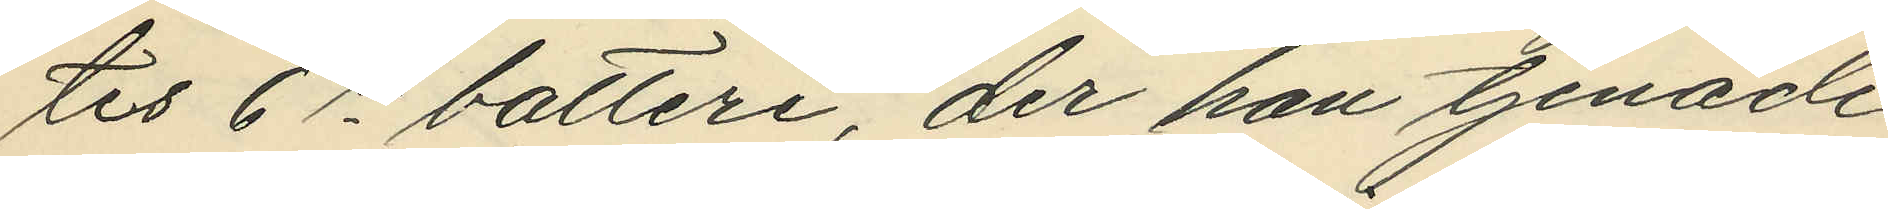tes 6te batteri, der han tjenade
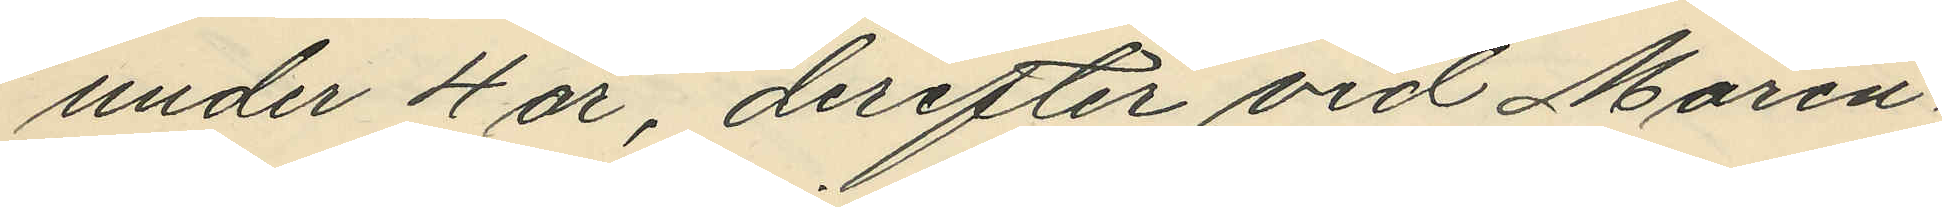under 4 år, derefter vid Marin¬
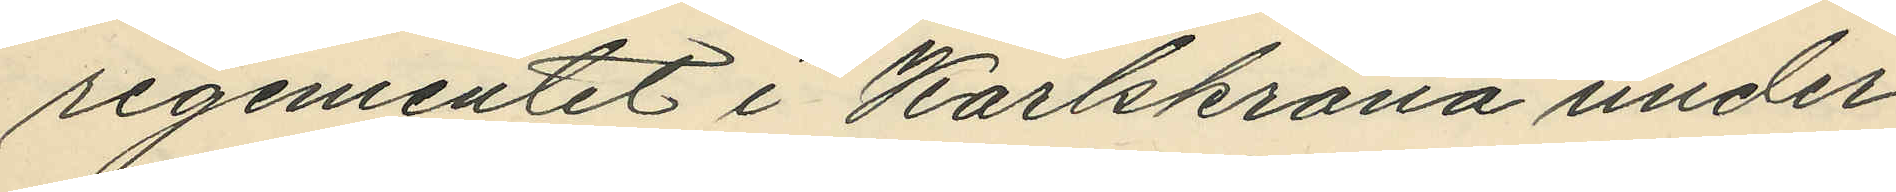regementet i Karlskrona under
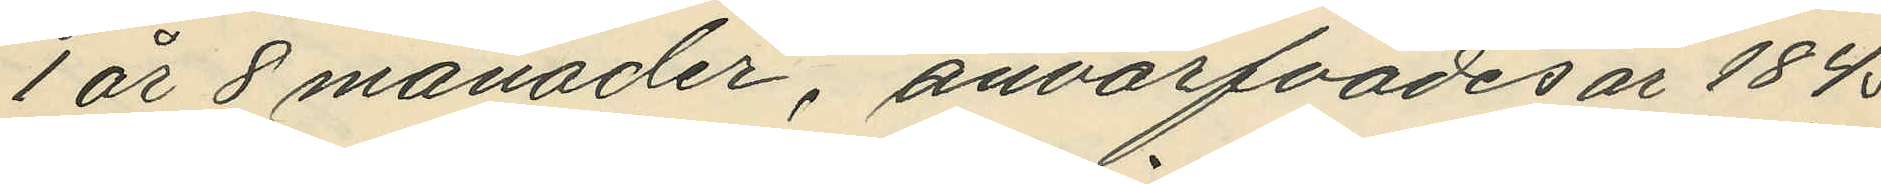1 år 8 månader, anvärfvades år 1845
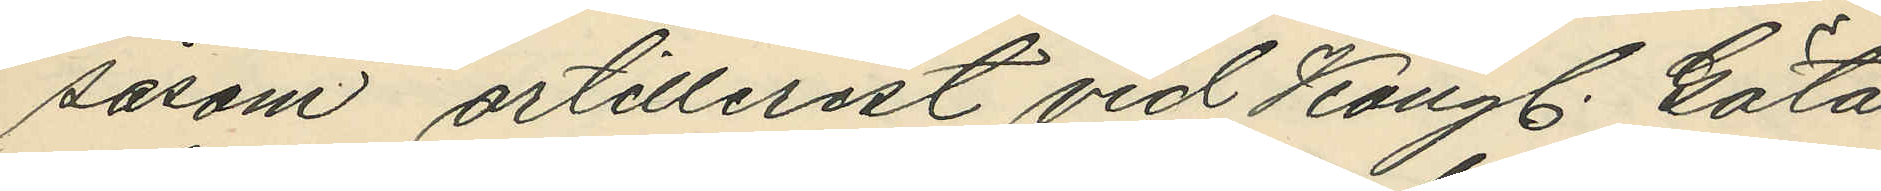såsom artillerist vid Kongl. Göta
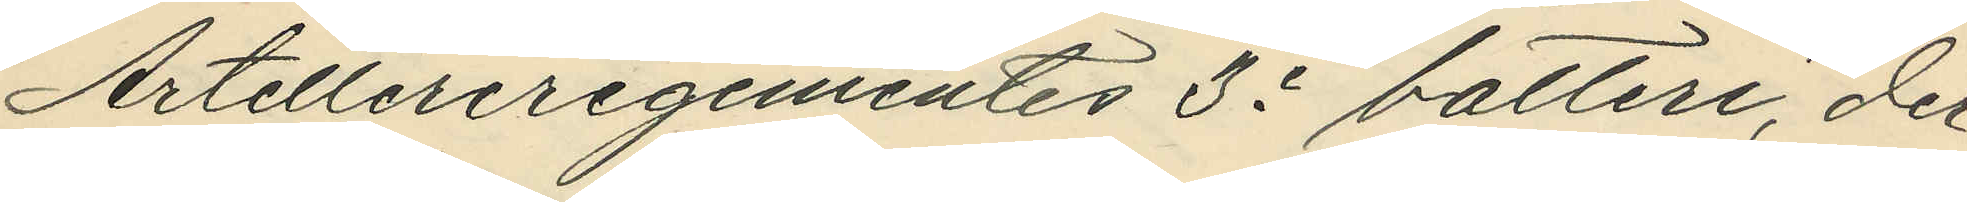Artelleriregementes 3e batteri, der
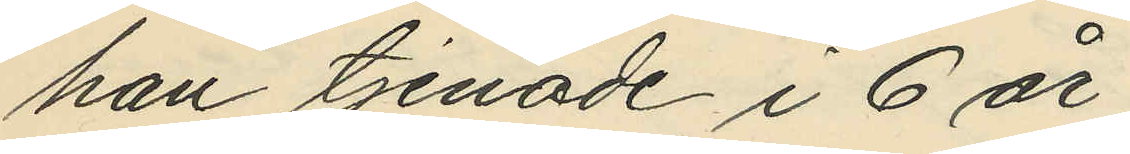han tjenade i 6 år;
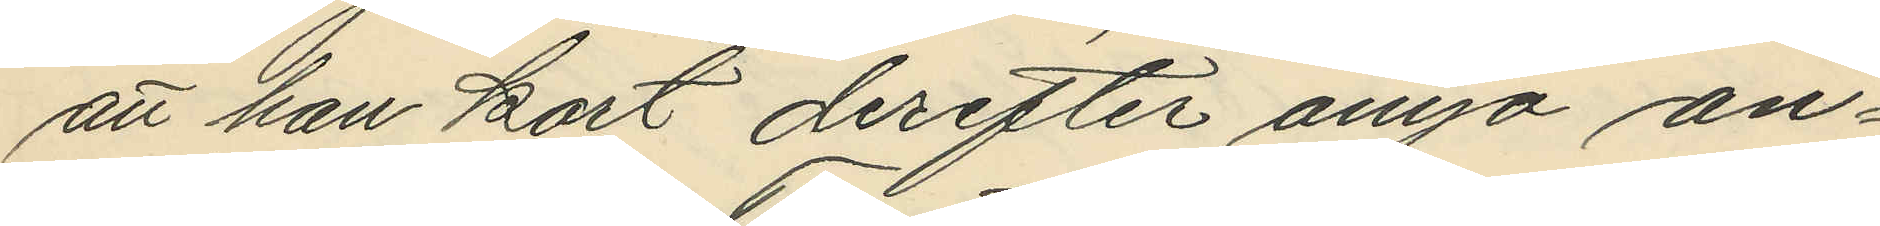att han kort derefter ånyo an¬
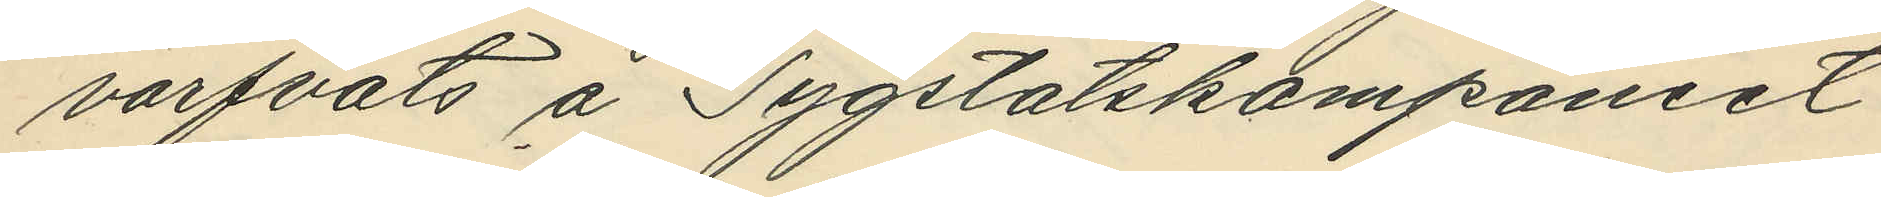värfvats å Tygstatskompaniet
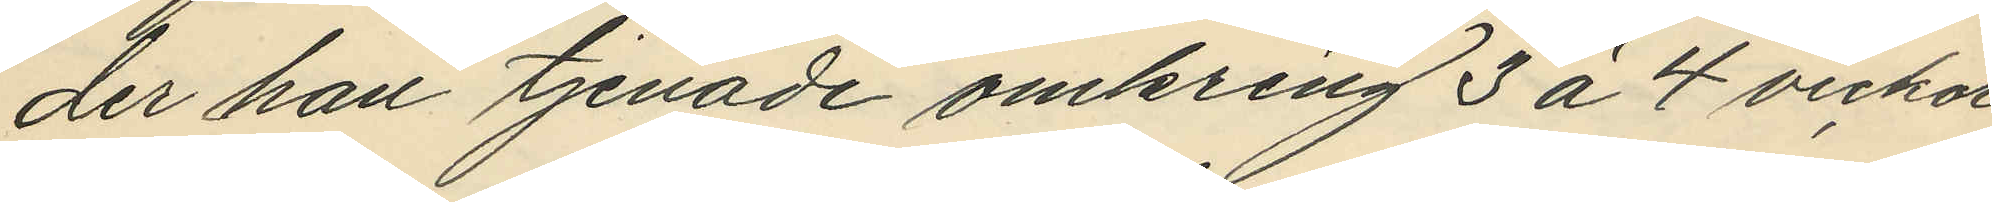der han tjenade omkring 3 à 4 veckor
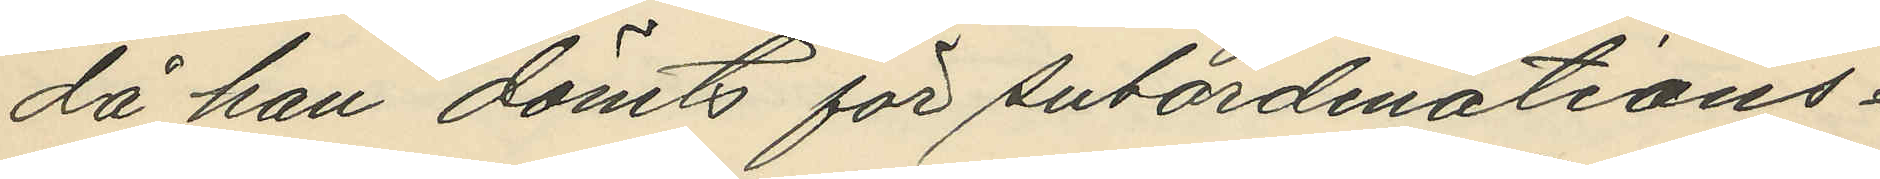då han dömts för subordinations¬
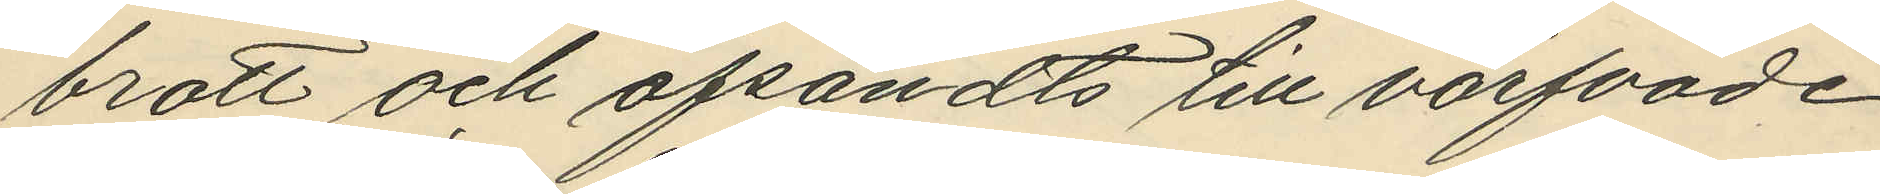brott och afsändts till värfvade
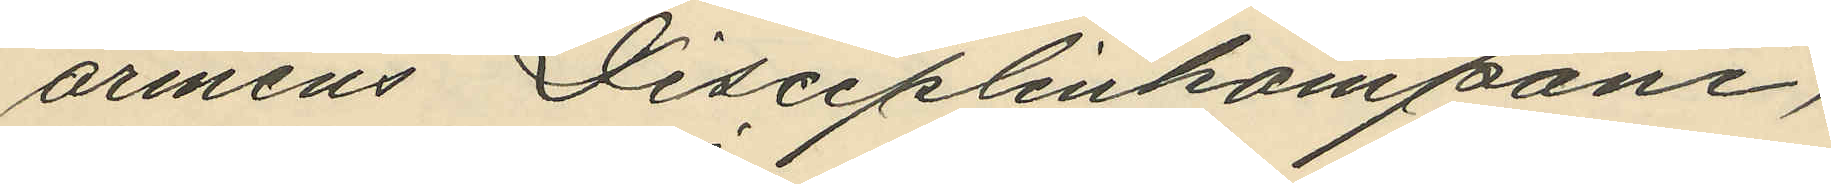arméns Disciplinkompani,
